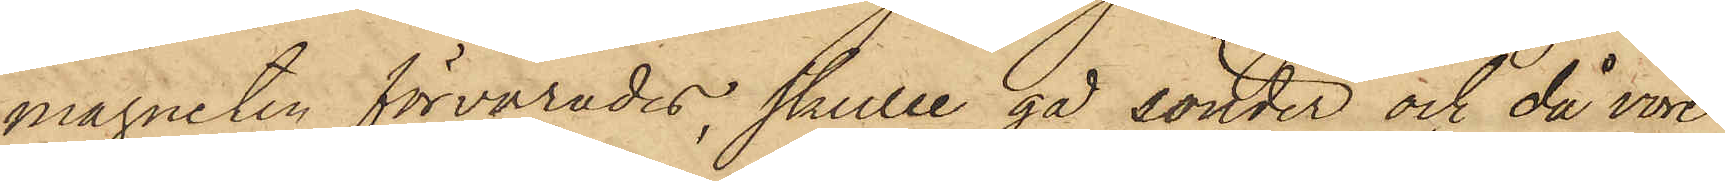magneten förvarades, skulle gå sönder och då vore
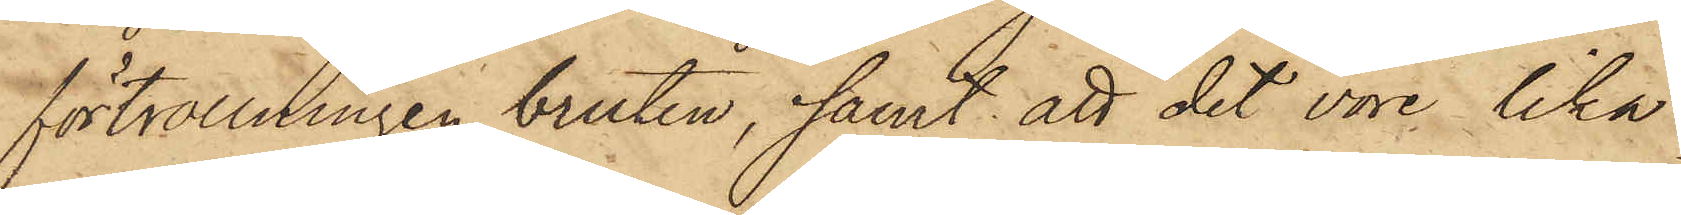förtrollningen bruten, samt att det vore lika
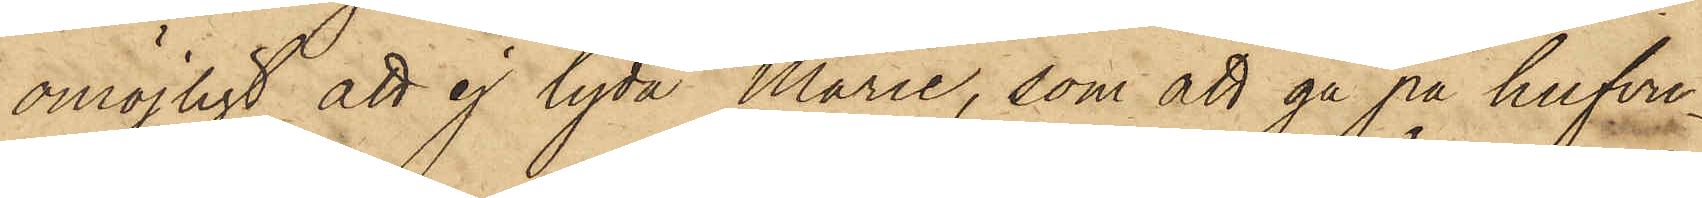omöjligt att ej lyda Marie, som att gå på hufvu¬
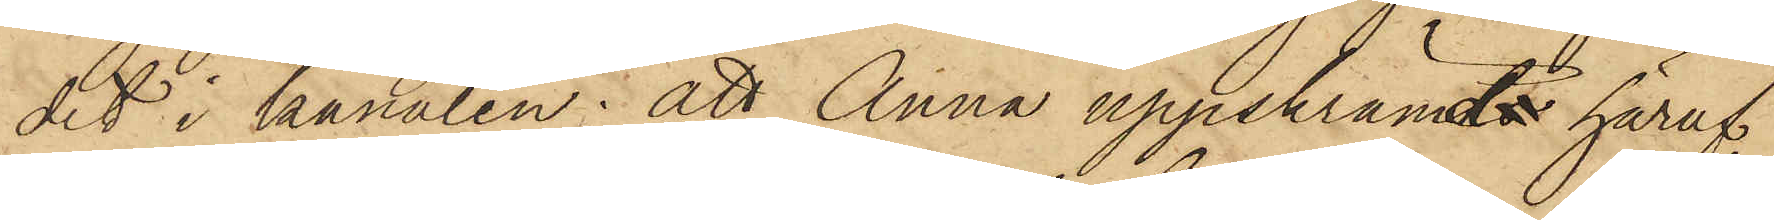det i kanalen: att Anna uppskrämds häraf,
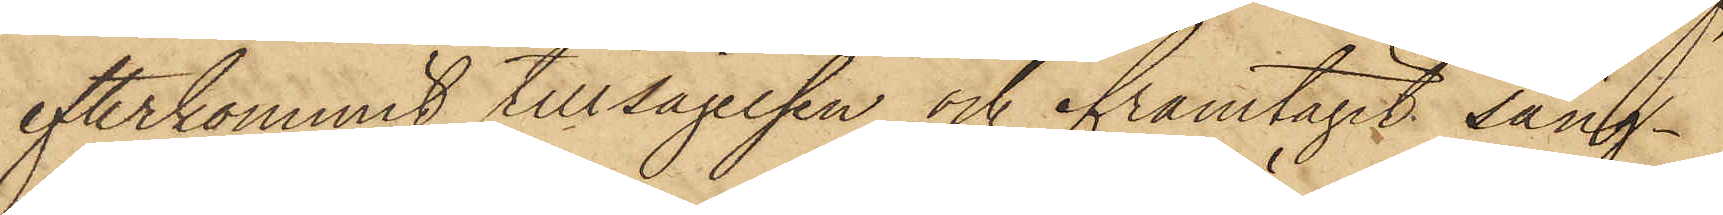efterkommit tillsägelsen och framtagit säng¬
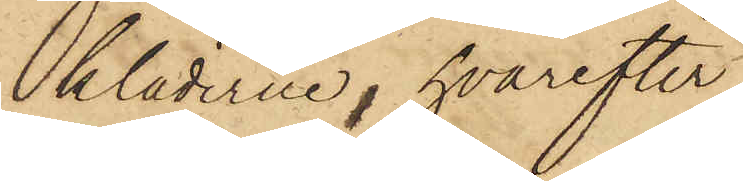kläderne, hvarefter
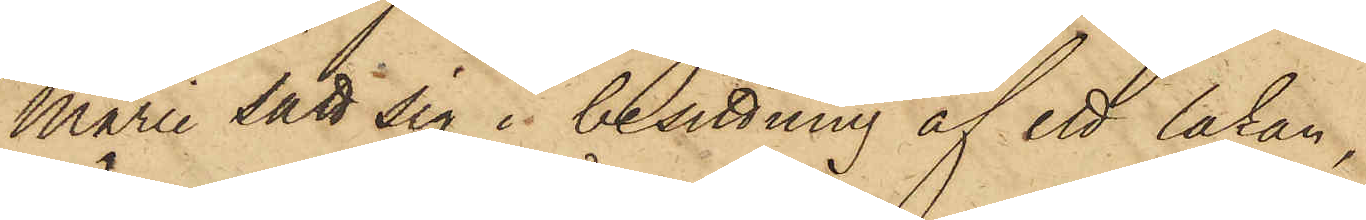Marie satt sig i besittning af ett lakan,
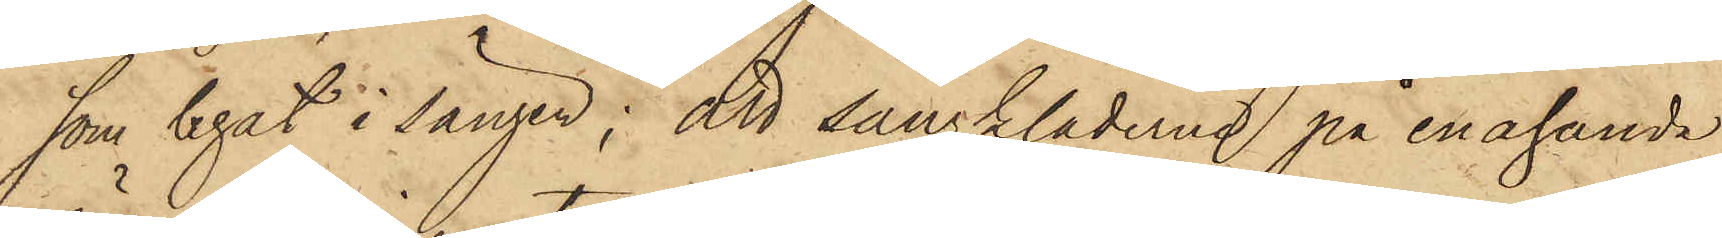som legat i sängen; att sängkläderne på enahanda
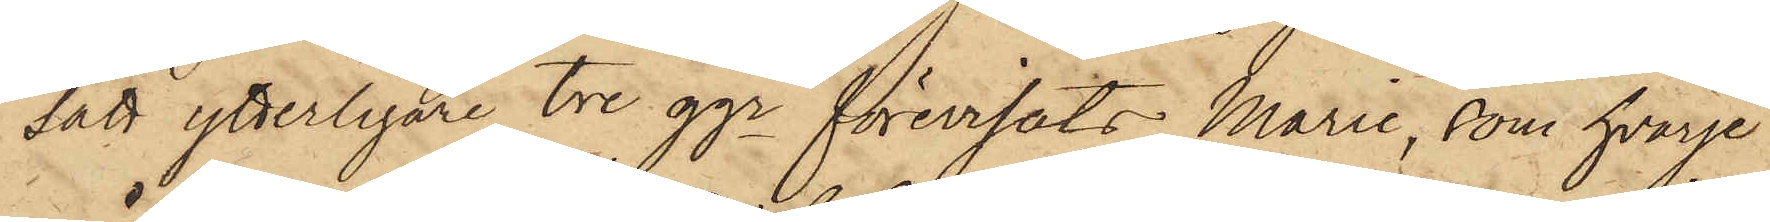sätt ytterligare tre ggr förevisats Marie, som hvarje
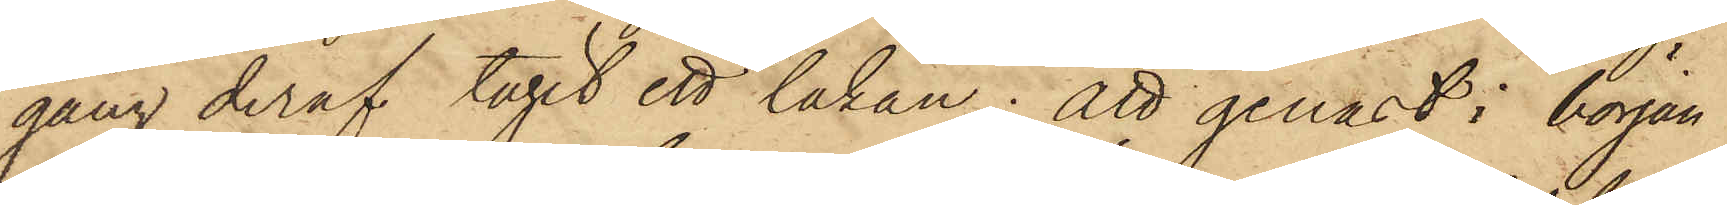gång deraf tagit ett lakan; att genast i början
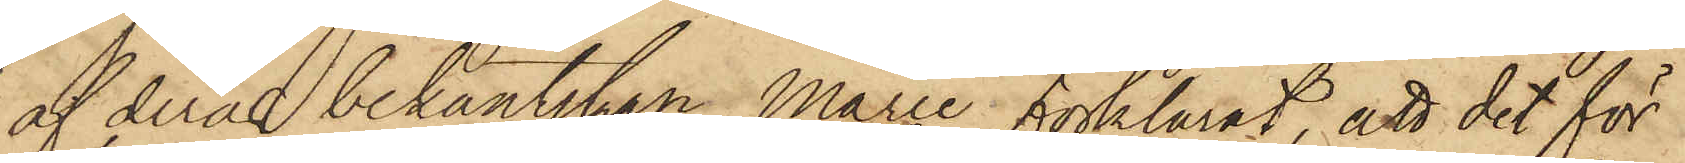af deras bekantskap, Marie förklarat, att det för
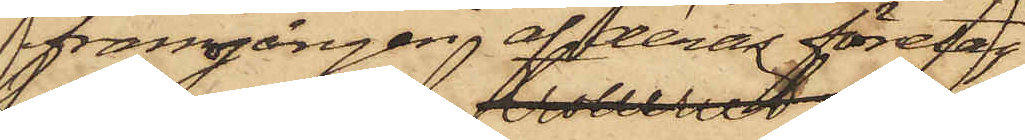framgången af deras företag
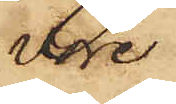vore
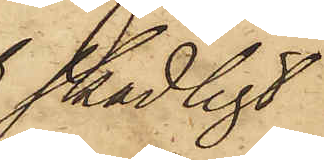skadligt
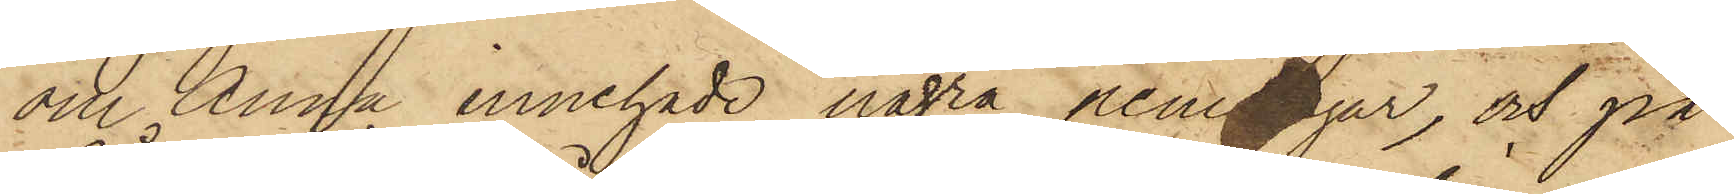om Anna innehade några penningar, och på
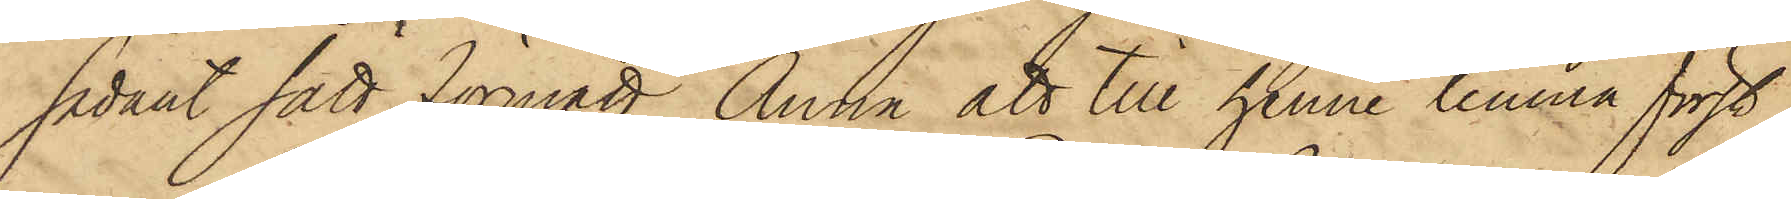sådant sätt förmått Anna att till henne lemna först
